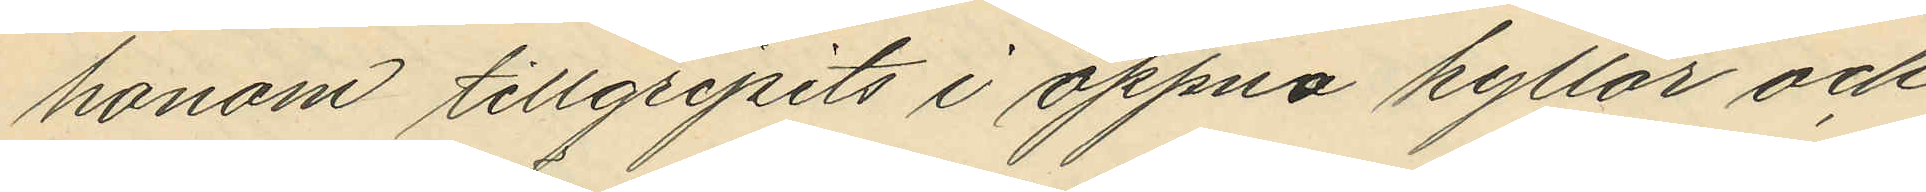honom tillgripits i öppna hyllor och
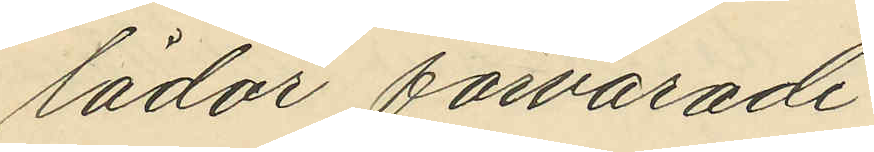lådor förvarade:
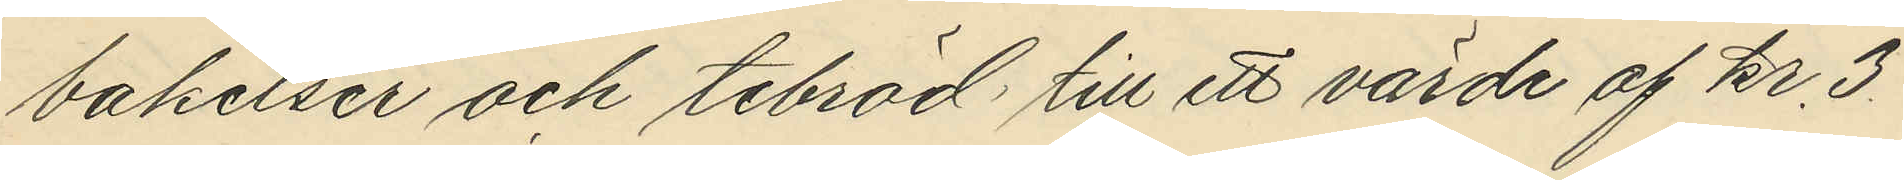bakelser och tebröd till ett värde af kr. 3.
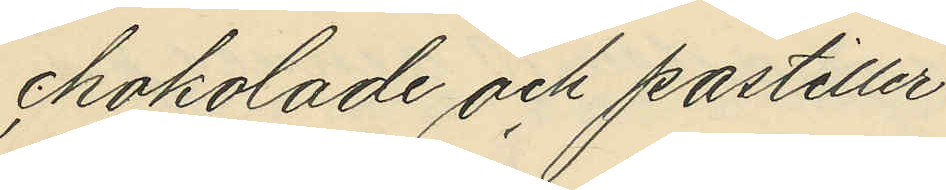chokolade och pastiller
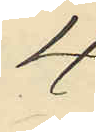4
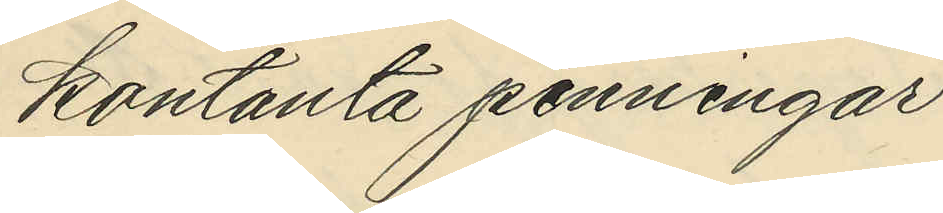kontanta penningar
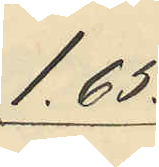1.65.
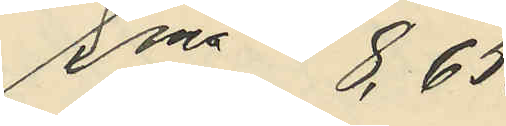Sma 8,65.
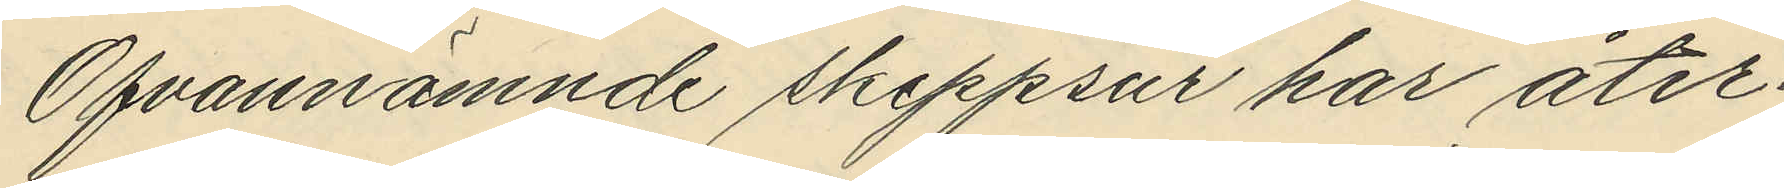Ofvannämnde skeppsur har åter¬
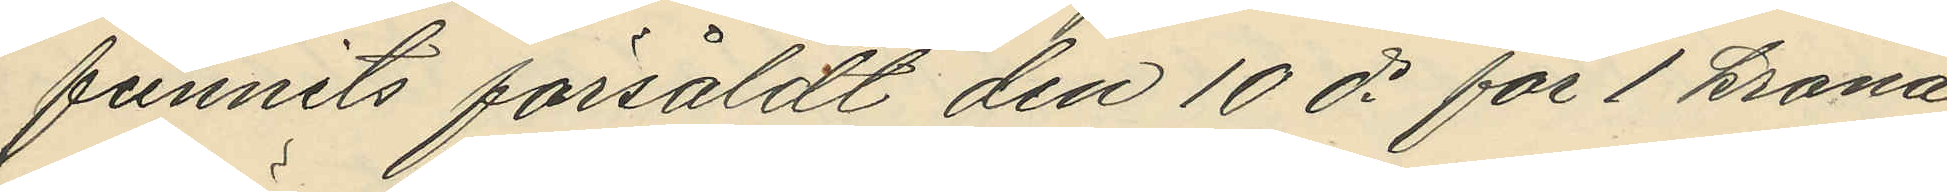funnits försåldt den 10 ds för 1 krona
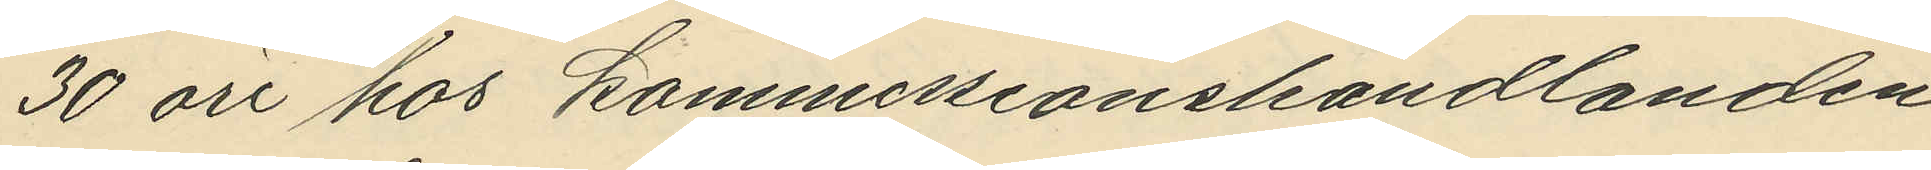30 öre hos kommissionshandlanden
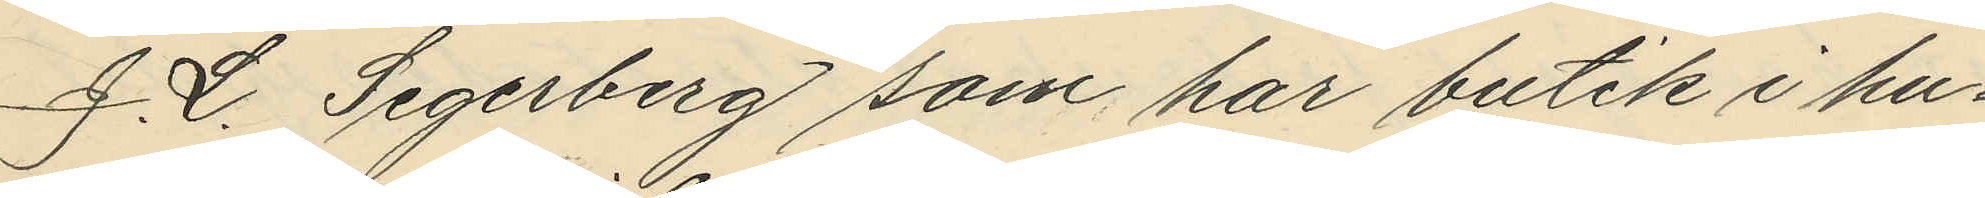J. L. Segerberg som har butik i hu¬
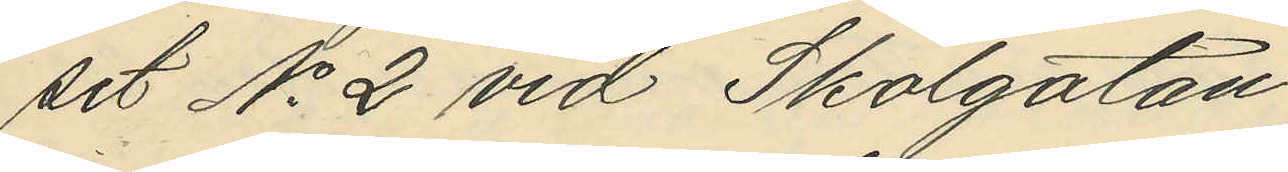set No 2 vid Skolgatan.
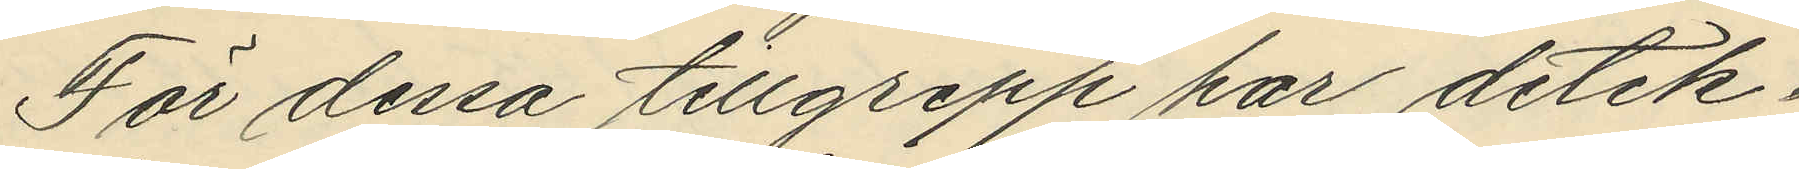För dessa tillgrepp har detek¬
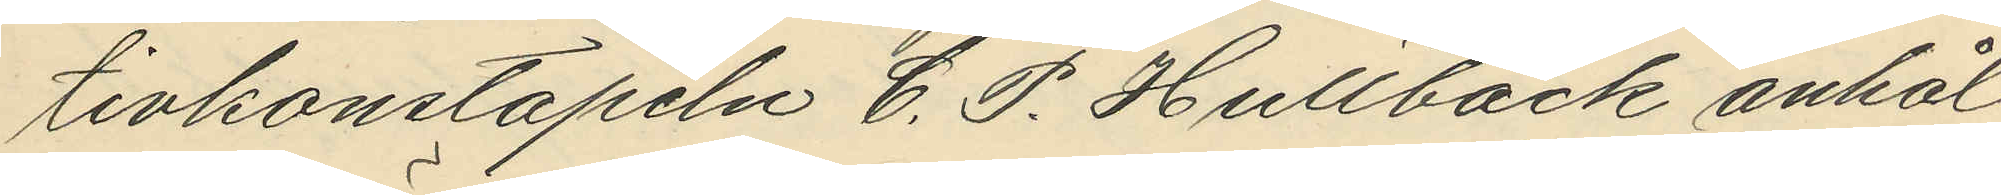tivkonstapeln C. P. Hultbäck anhål¬
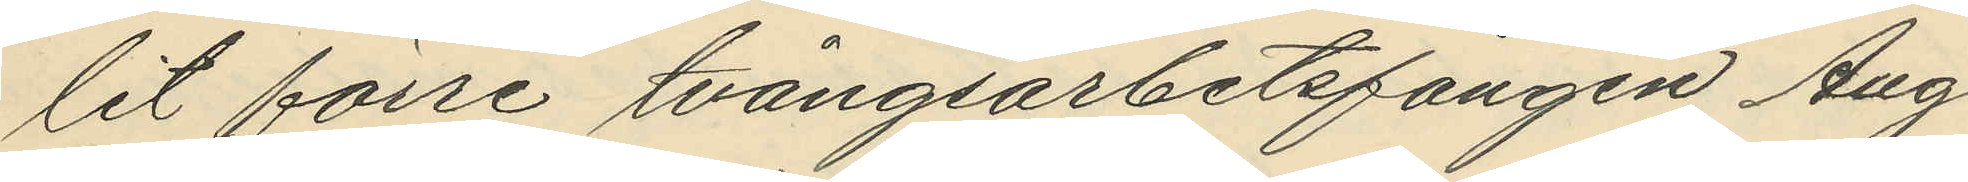lit förre tvångsarbetsfången Aug
